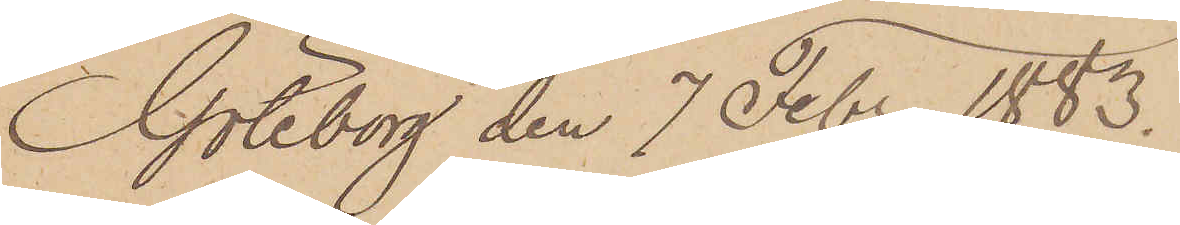Göteborg den 7 Febr 1883.
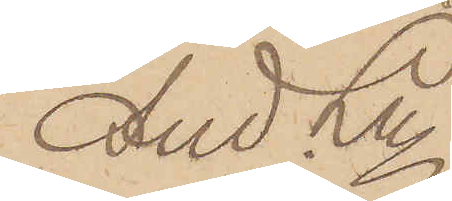And Ln
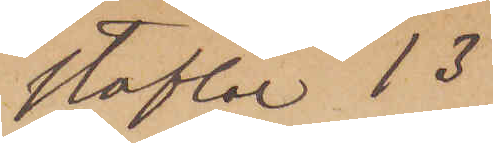stöflar 13
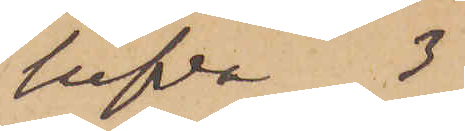lufva 3
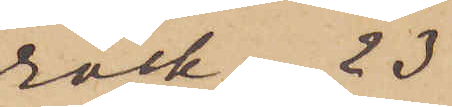rock 23
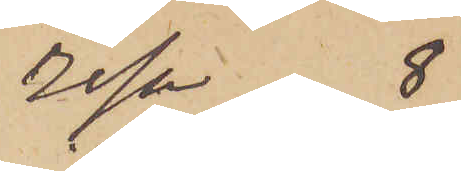resa 8
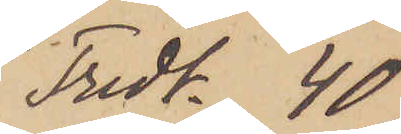Fridt 40
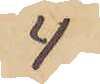4
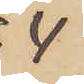4
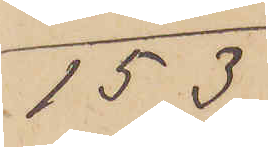153
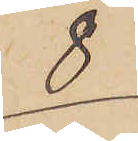8
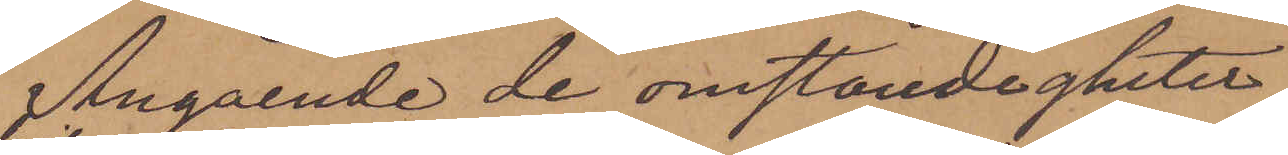Angående de omständigheter
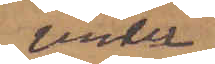under
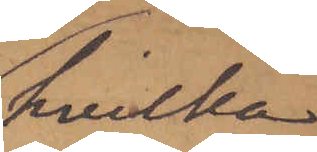hvilka
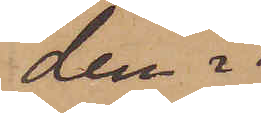den i
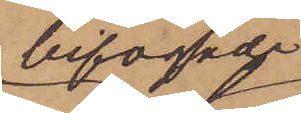bifogade
